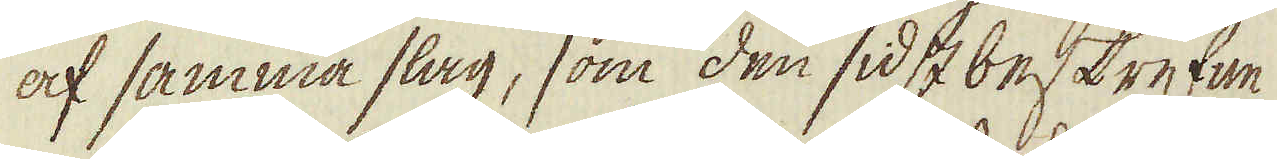af samma slag, som den sidst beskrefne
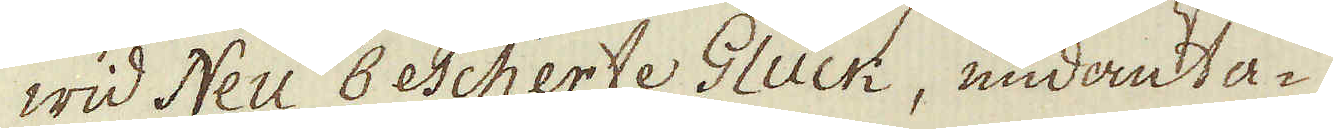wid Neu Bescherte Gluck, undanta-
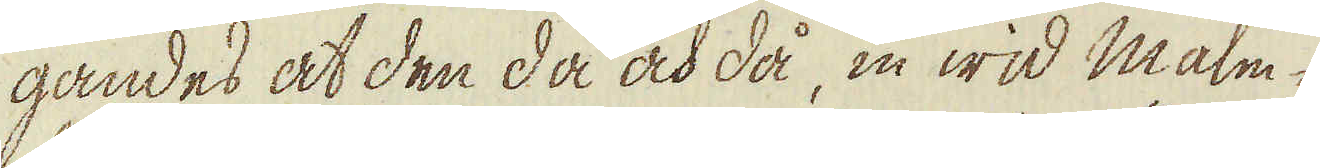gandes at den då och då, in wid malm-
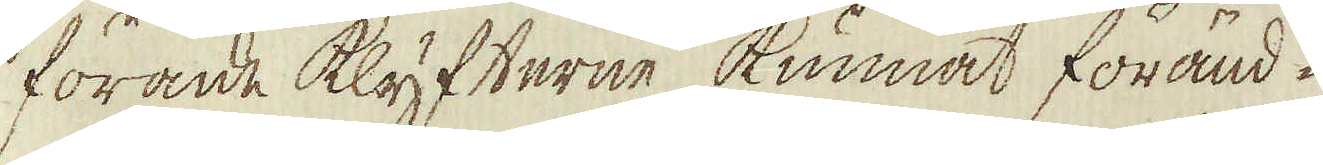förande klyfterne kunnat föränd-
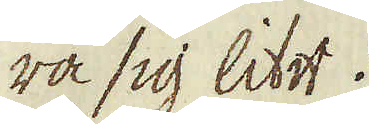ra sig litet.
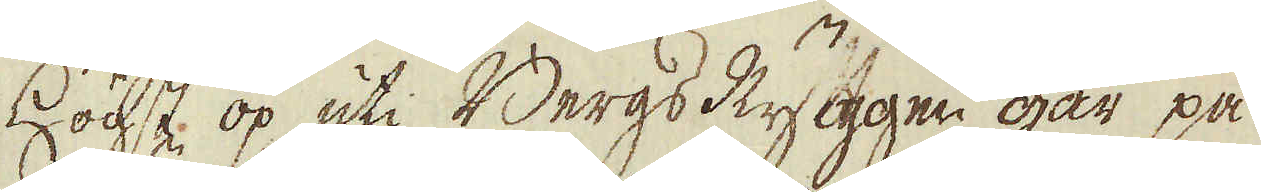Högst op uti Bergs Ryggen går på
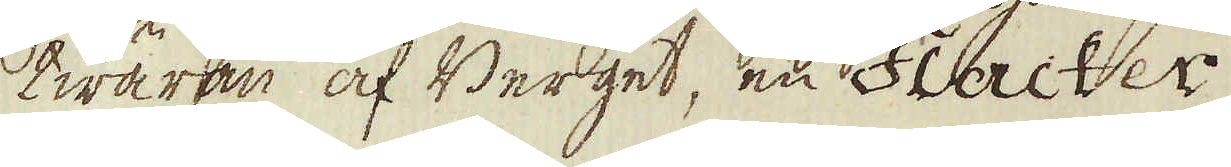twäran af Berget, en Flacker
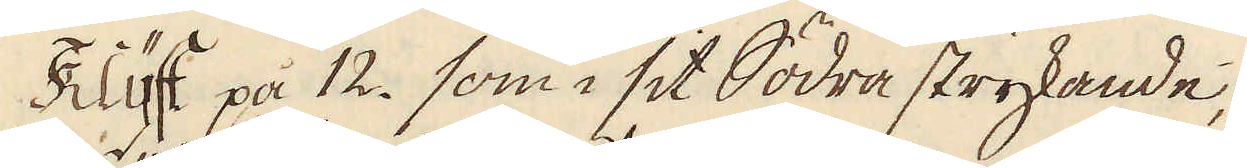Klyft på 12. som i sit Södra strykande,
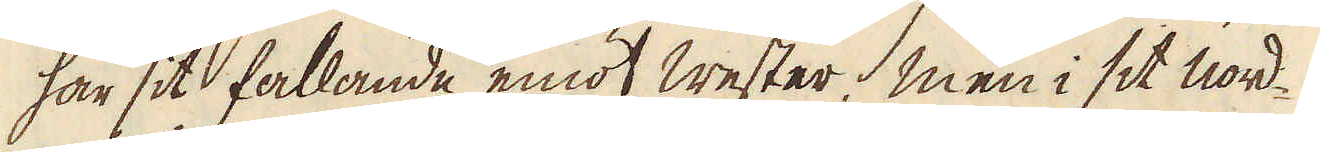har sit fallande emot Wester, men i sit nord-
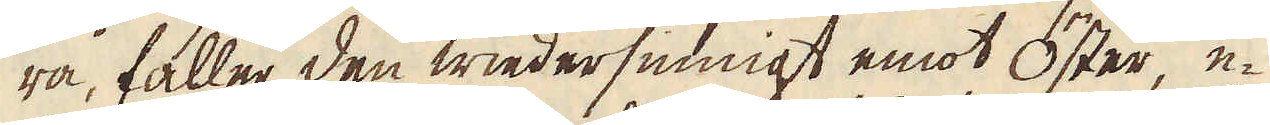ra, faller den wiedersinnigt emot Öster, e-
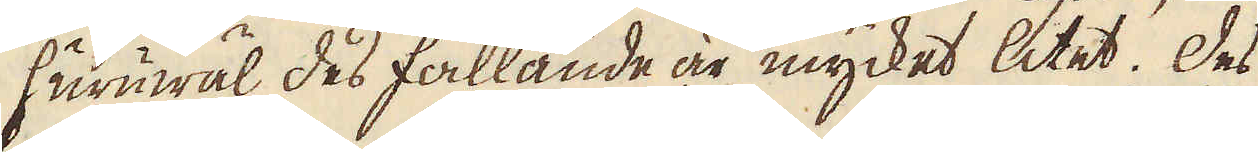huruwäl des fallande är mycket litet. Des
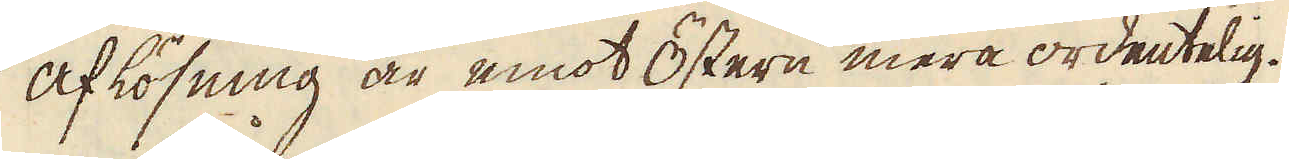aflösning är emot Östern mera ordentelig.
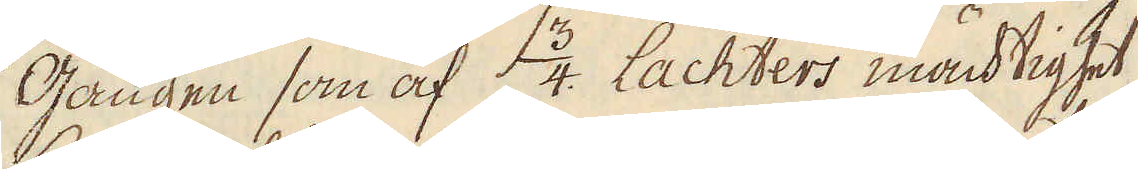Gången som af 3/4 Lachters mächtighet
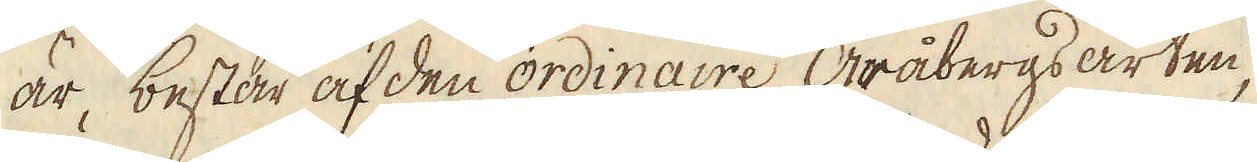är, består af den ordinaire Gråbergs arten,
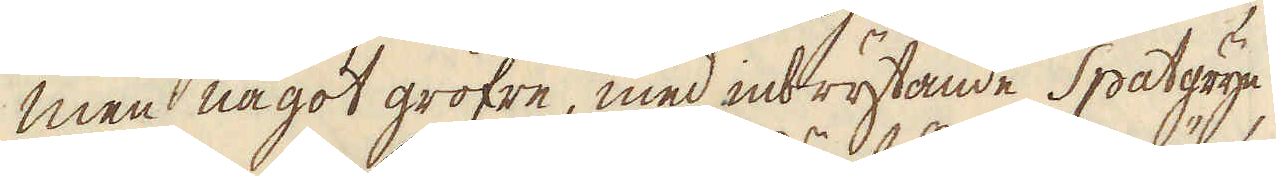men något gröfre, med inbrytande Spatgryn,
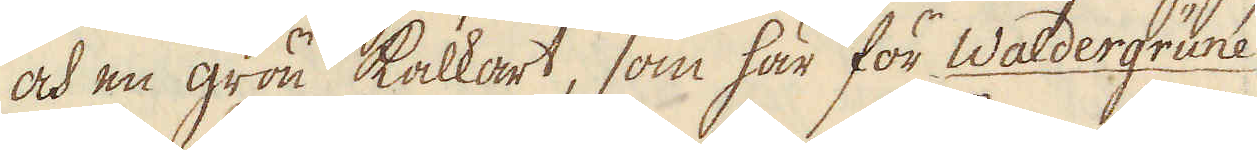och en grön kalkart, som här för Waldergrune
